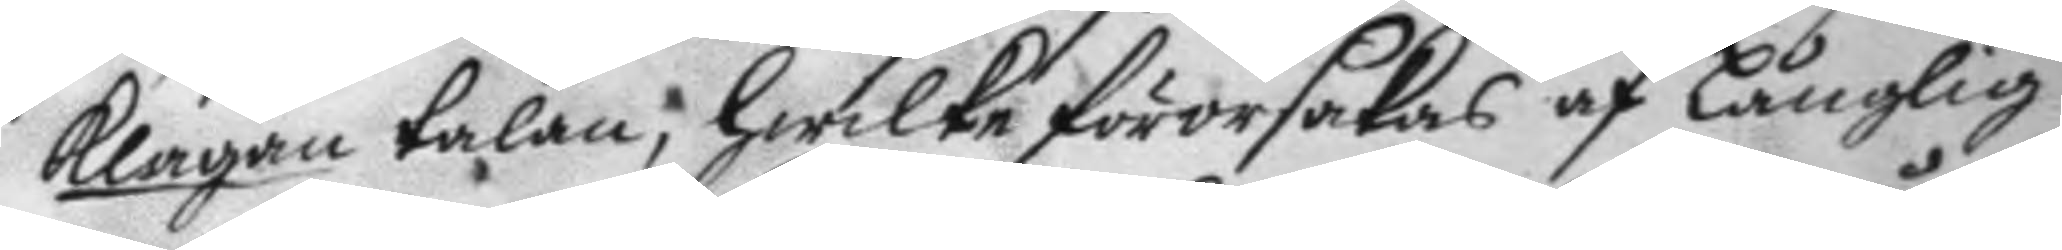klagan talan, hwilket förorsakas af Långlig
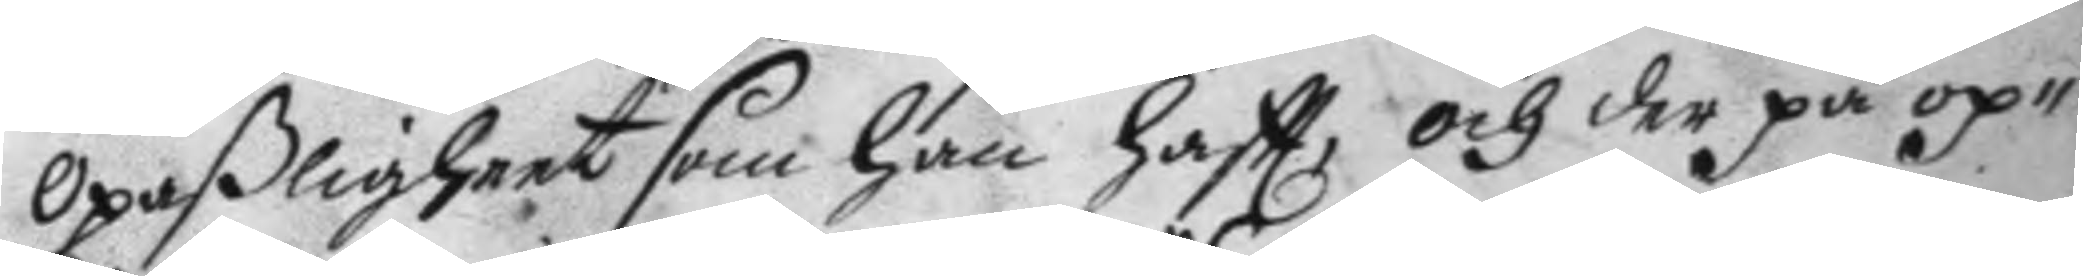opaßligheet som han haftt, och der på op¬
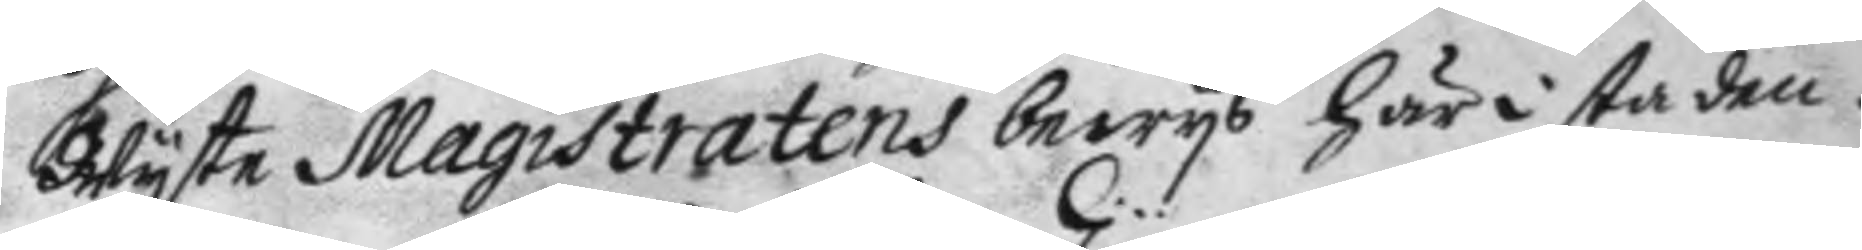Wyste Magistratens bewys här i staden.
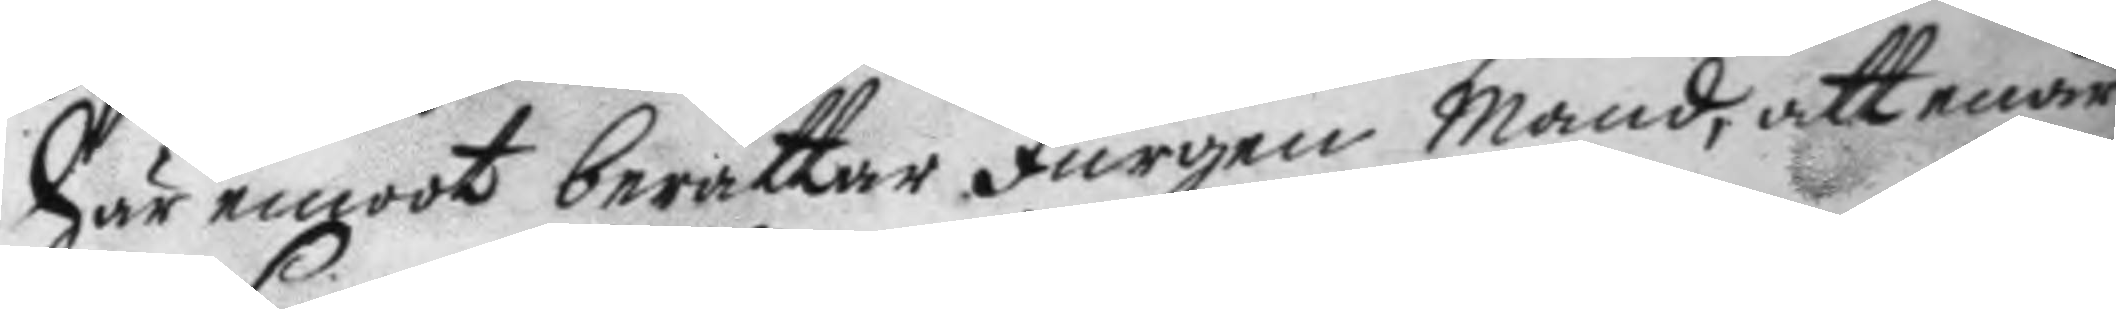här emoot berättar Jurgen Mand, att enär
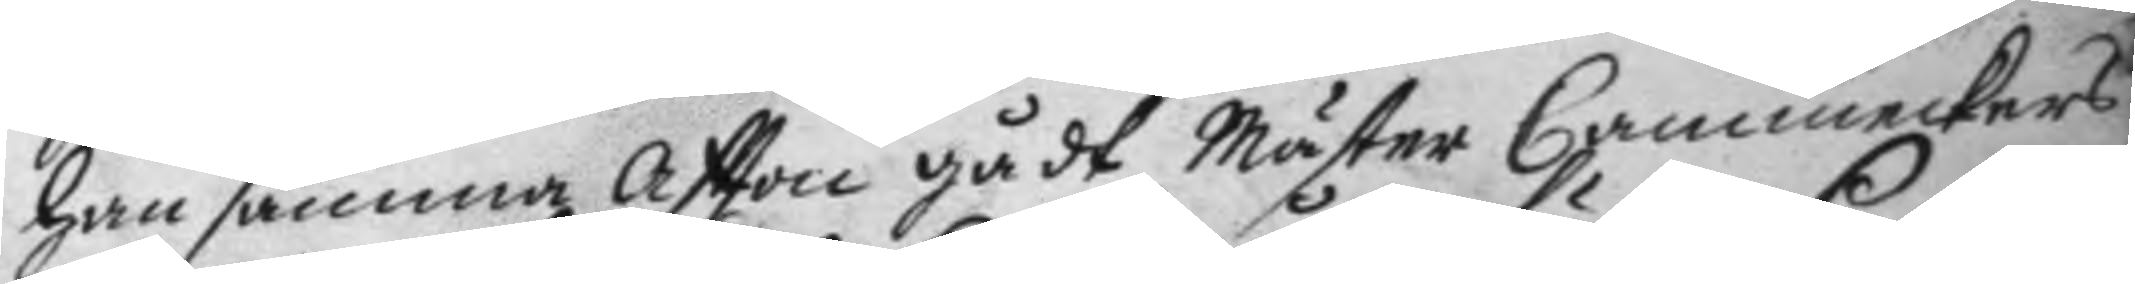han samma aftton gådt Mäster Cammeckers
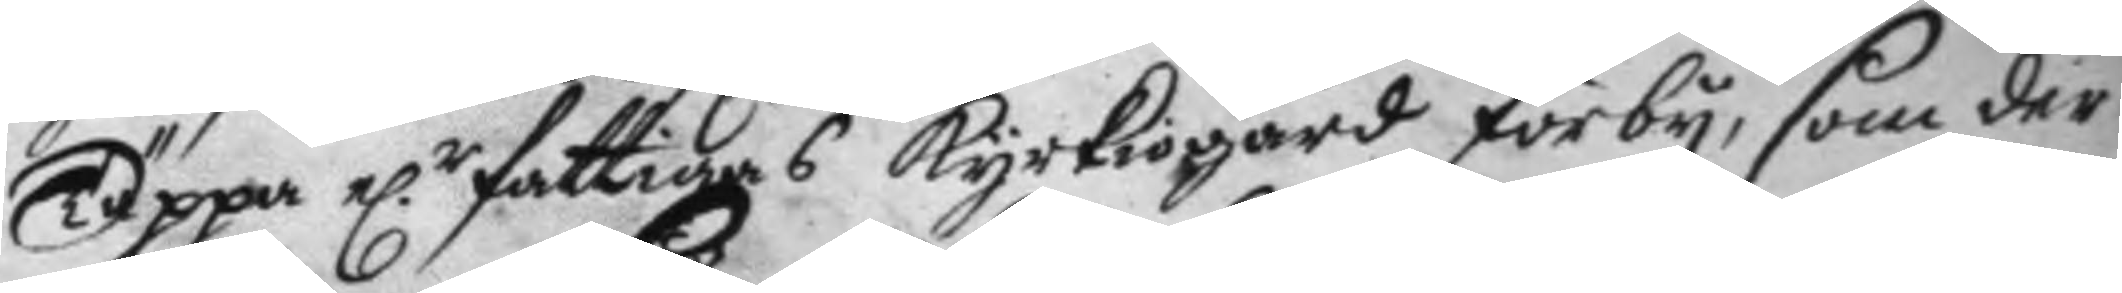Täppa e.r fattiaas kyrkiogård förby, som der
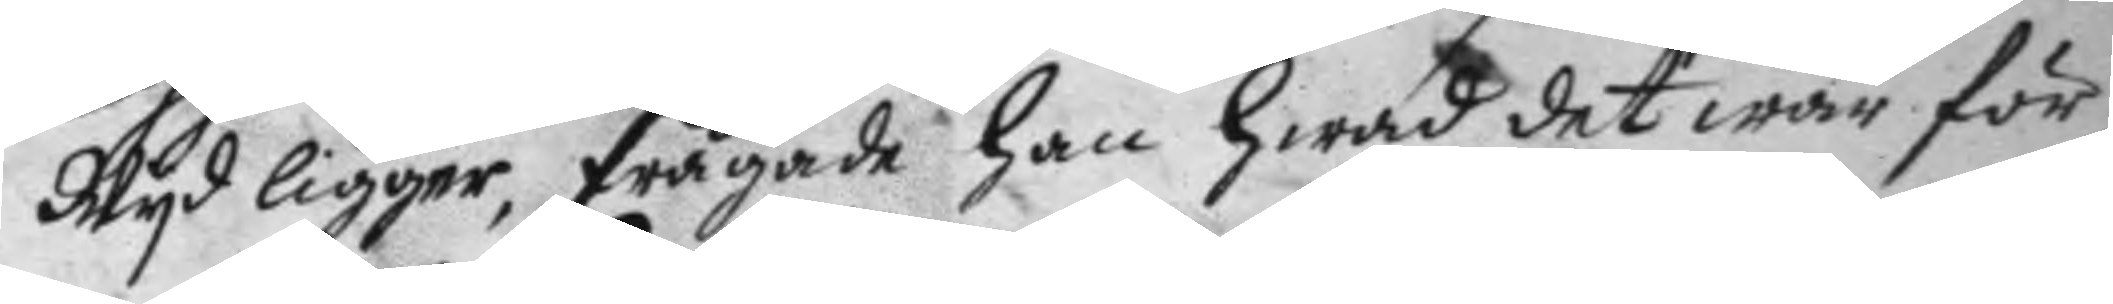Wyd ligger, frågade han hwad det war för
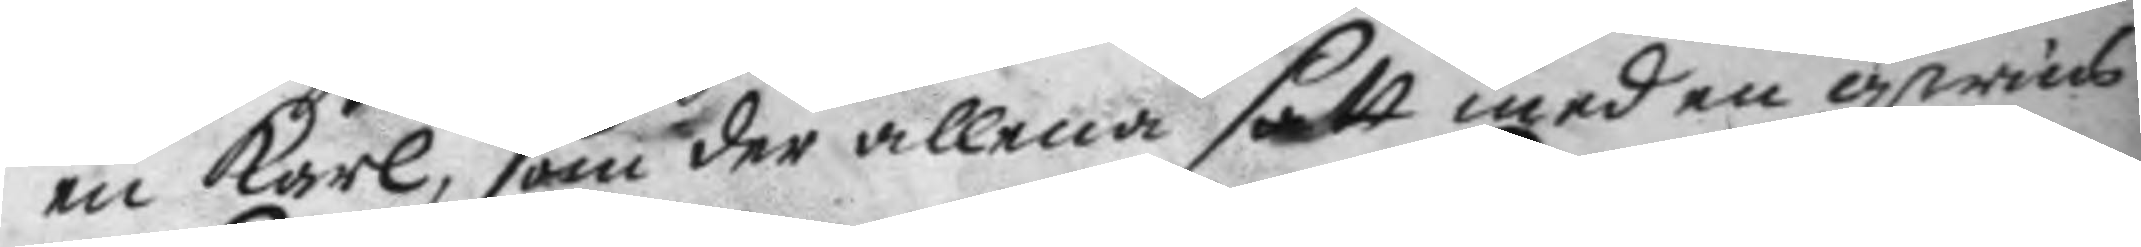en karl som der allena satt med en qwins¬
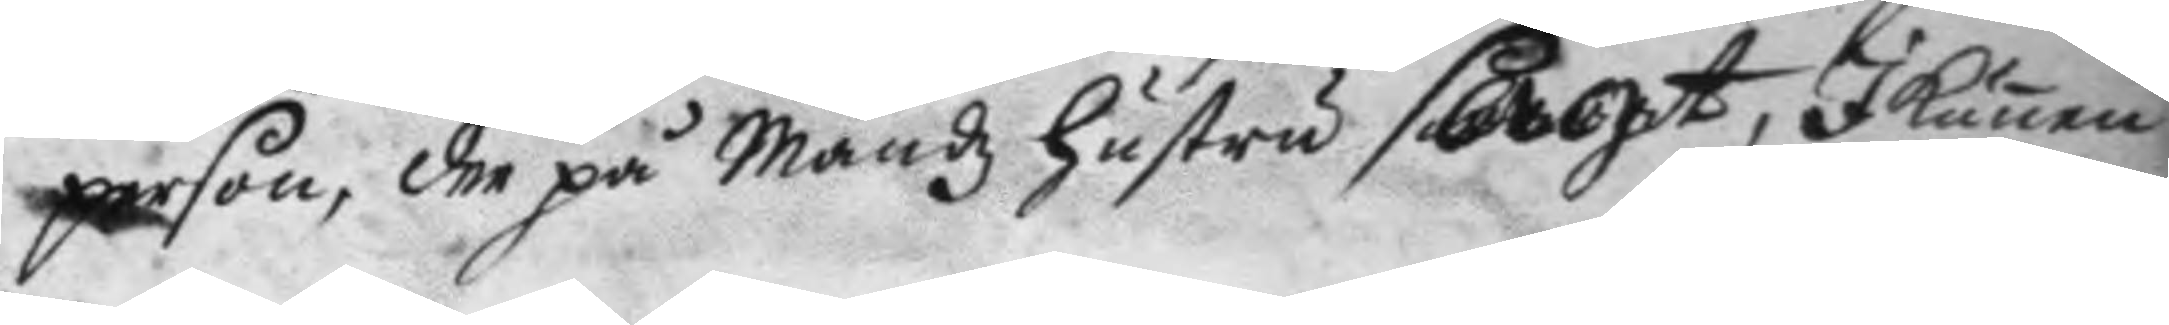person, der på Mandz hustru sagt, I kunna
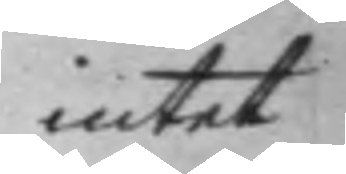intet
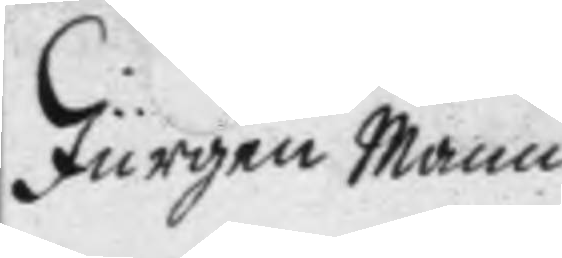Jurgen Mann
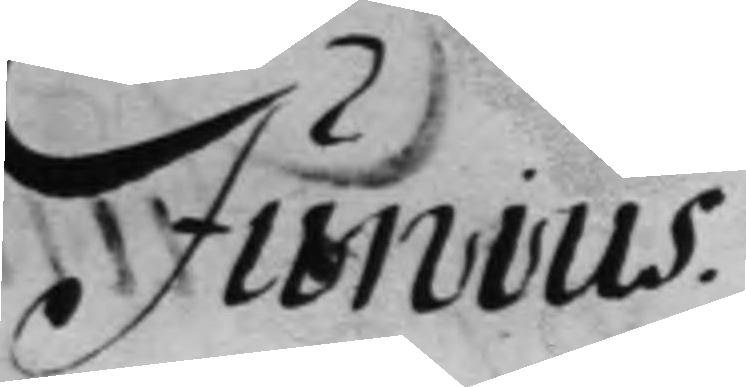Junius.
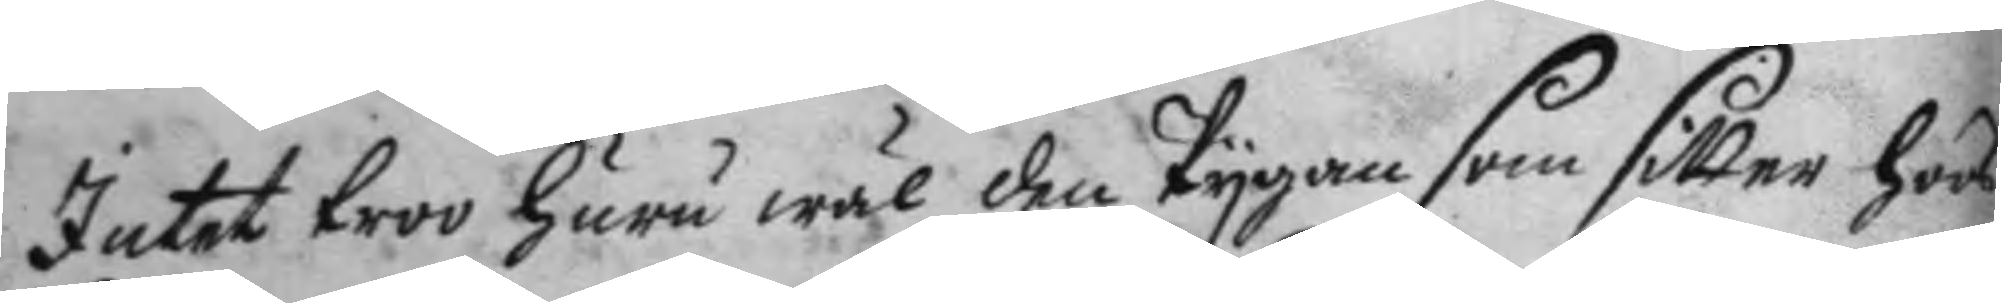intet troo huru wäl den Pygan som sitter hoos
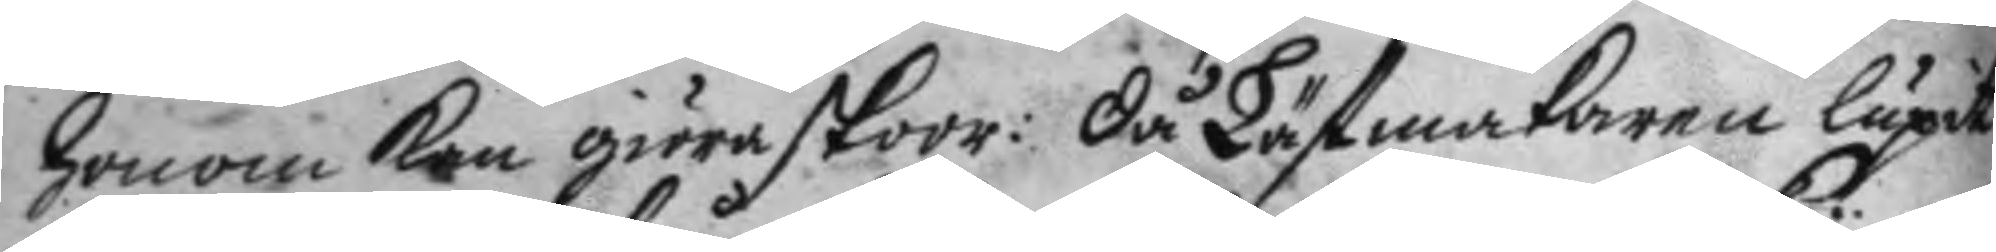honom kan giöra skoor: då Lästmakaren lupit
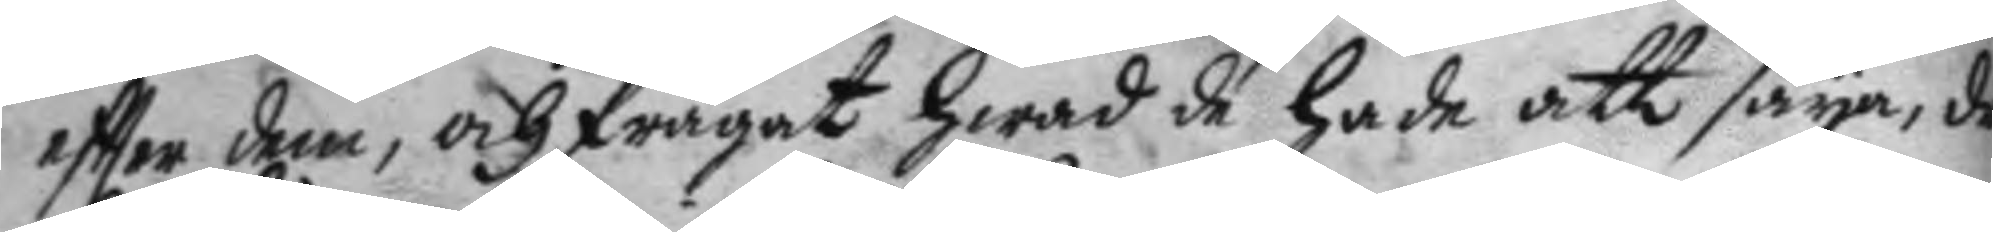eftter dem, och frågat hwad de hade att säya, de
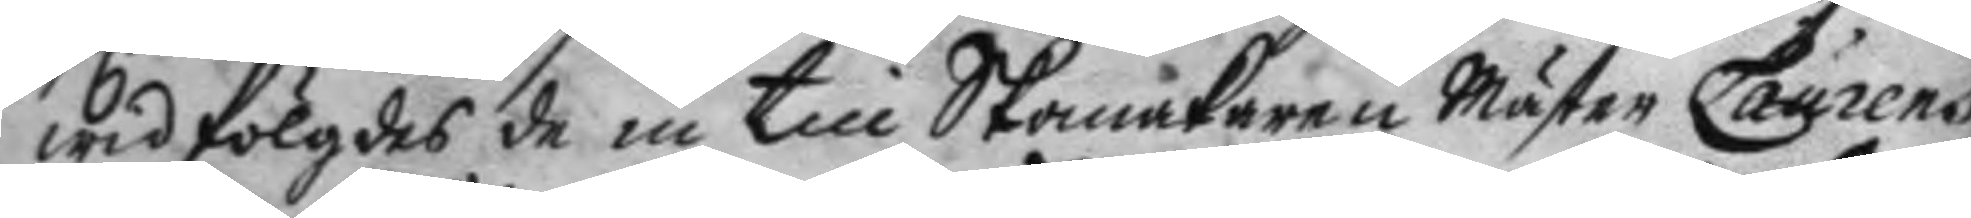wid fölgdes de in till Skomakaren Mäster Laurens
